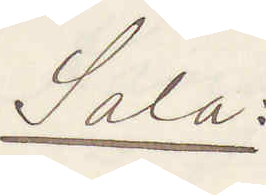Sala:
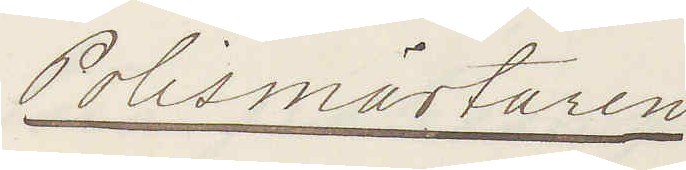Polismästaren
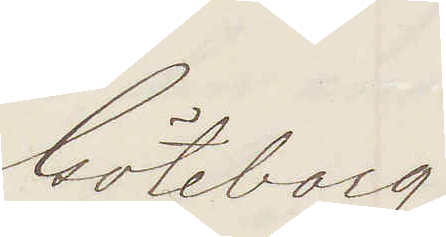Göteborg
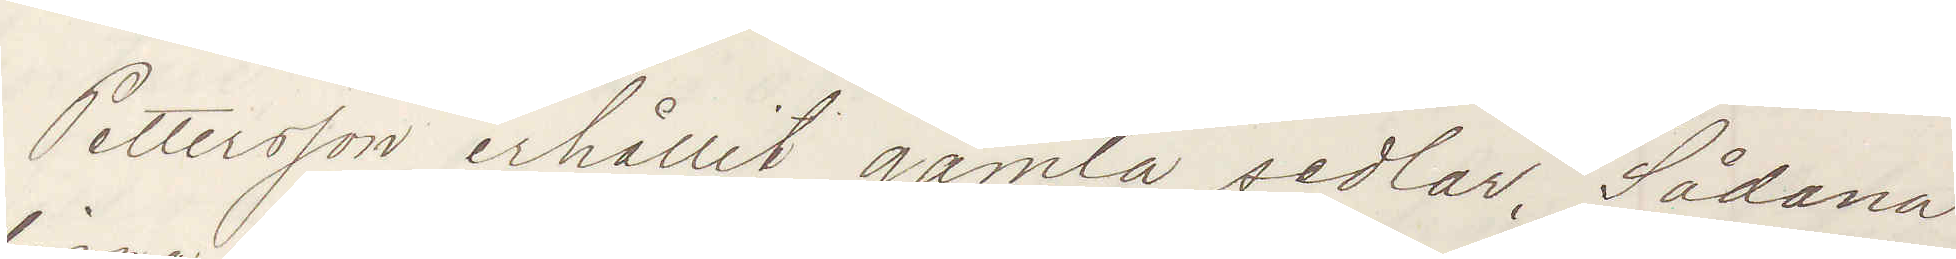Pettersson erhållit gamla sedlar Sådana
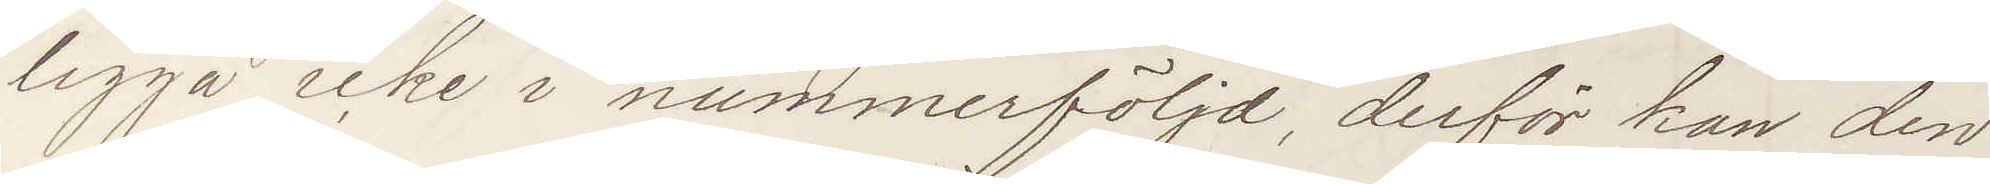ligga icke i nummerföljd, derför kan den
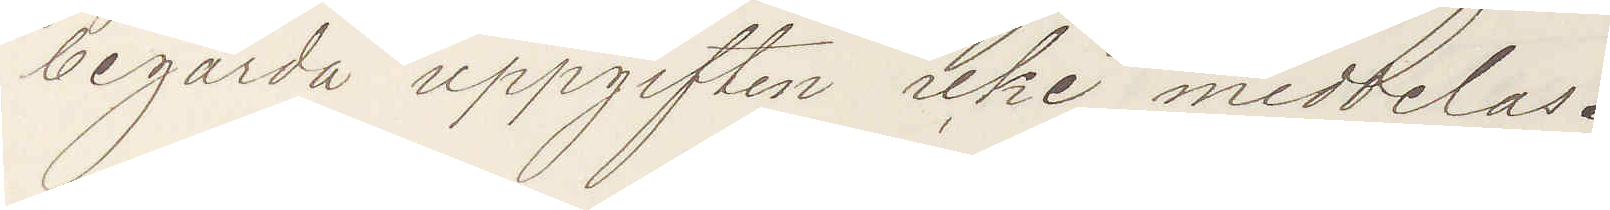begärda uppgiften icke meddelas.
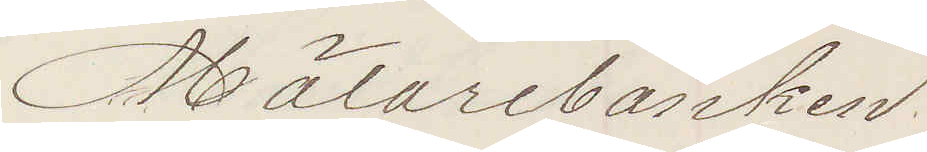Mälarebanken
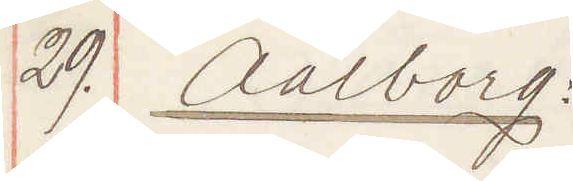29. Aalborg:
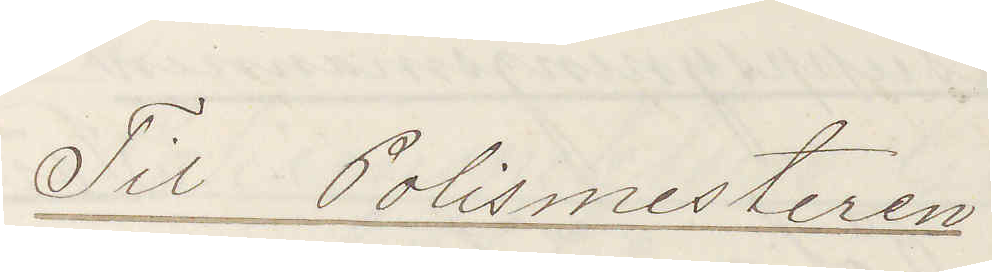Til Polismesteren
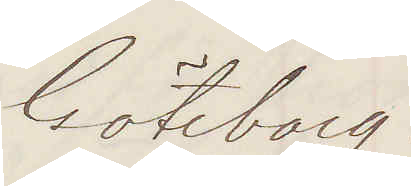Göteborg.
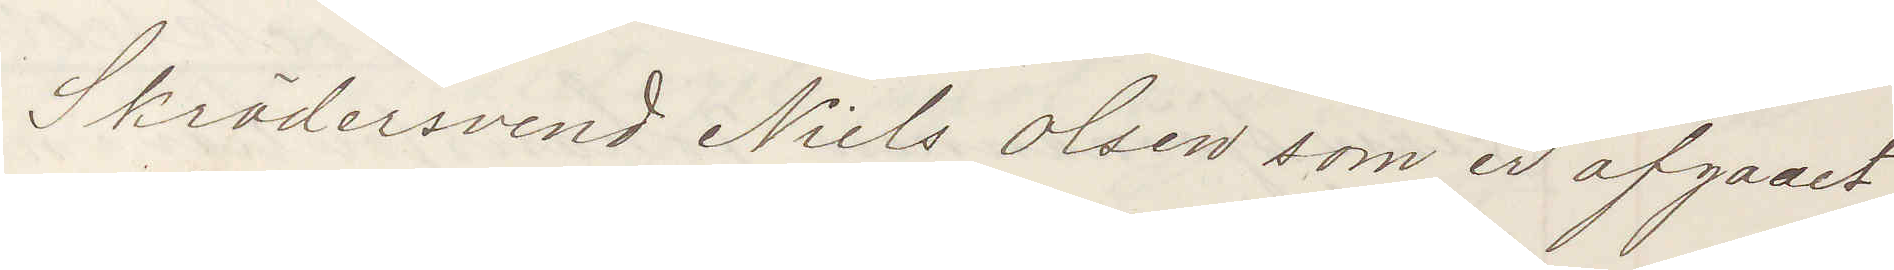Skrädersvend Niels Olsen som er afgaaet
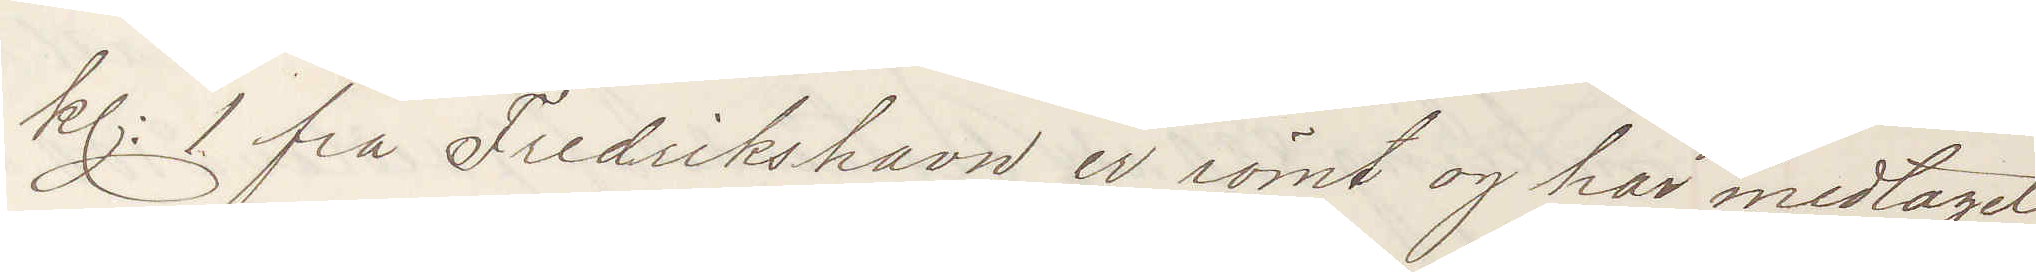kl: 1 fra Fredrikshavn er römt og har medtagit
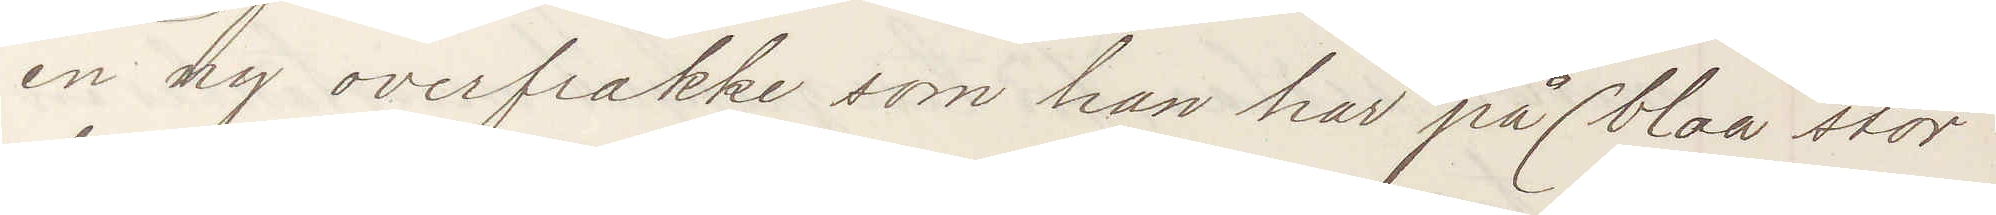en ny overfrakke som han har på (blaa stor¬
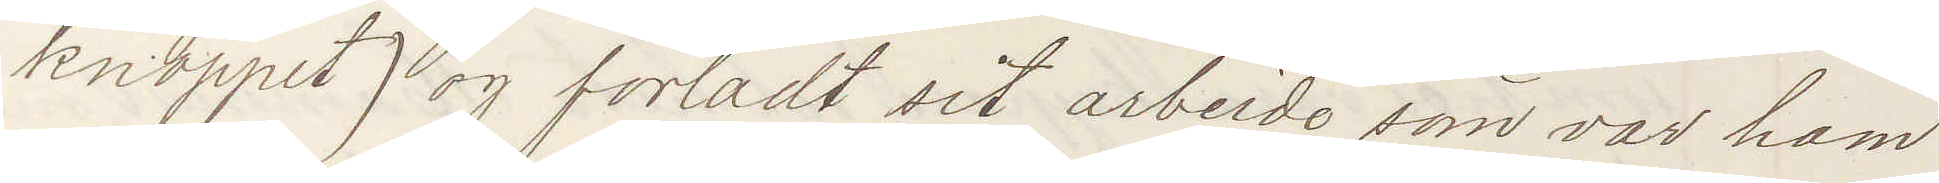knoppet) og forladt sit arbeide som var ham
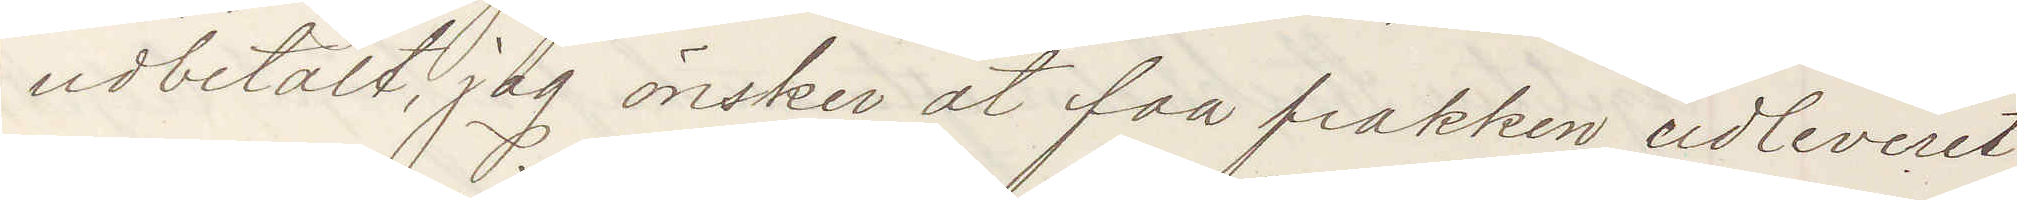udbetaldt, jag önsker at faa frakken udleveret
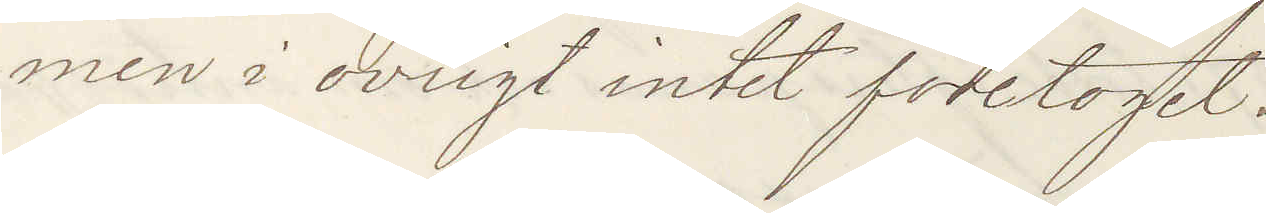men i ovrigt intet foretoget.
